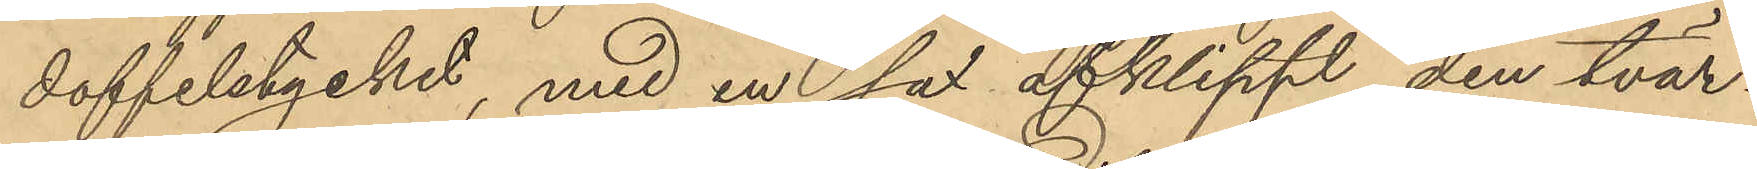doffelstycket, med en sax afklippt den tvär¬
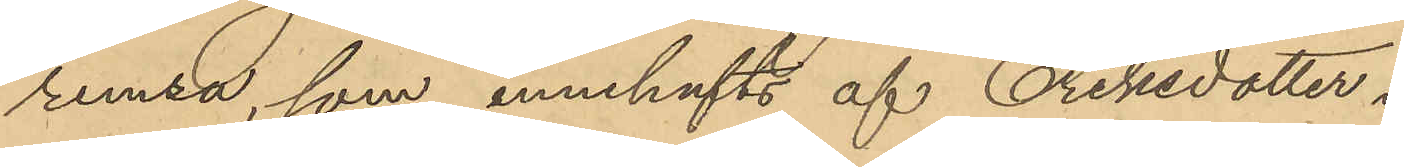remsa, som innehafts af Eriksdotter.
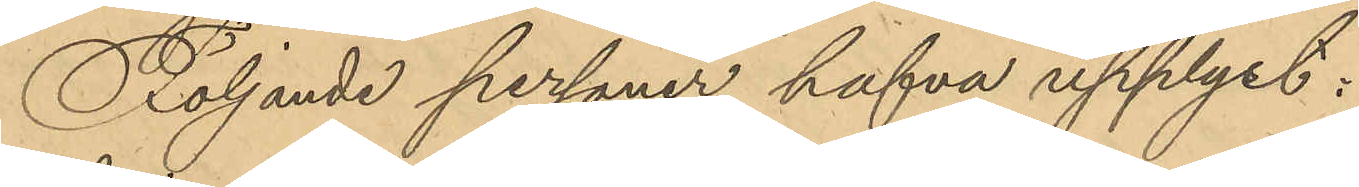Följande personer hafva upplyst:
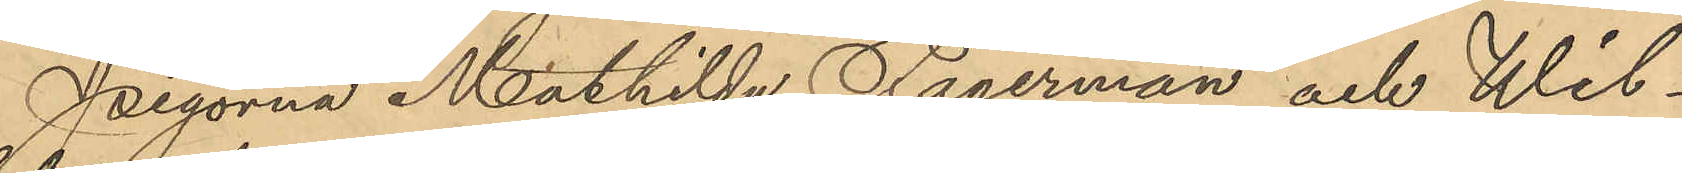Pigorna Mathilda Fagerman och Wil¬
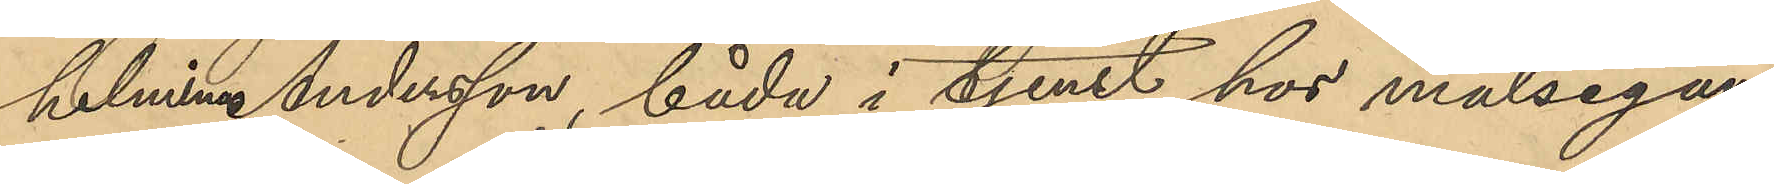helmina Andersson, båda i tjenst hos målsegan¬
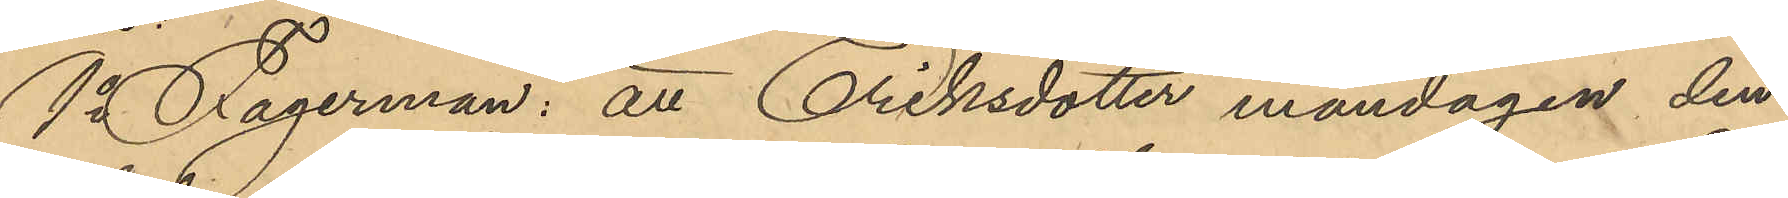1o Fagerman: att Eriksdotter måndagen den
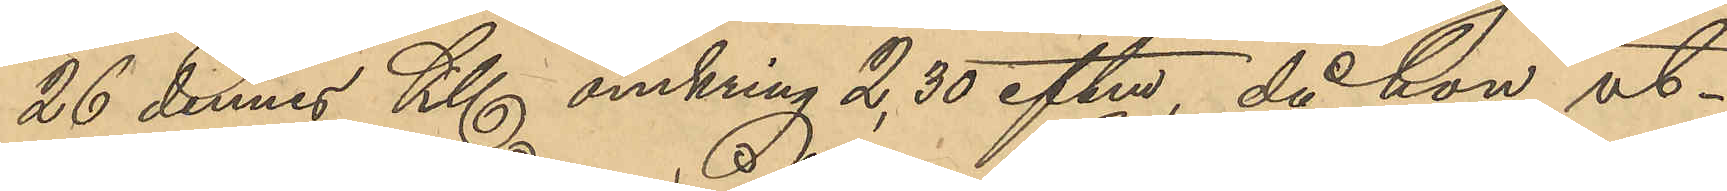26 dennes Kl omkring 2,30 eftm, då hon ut¬
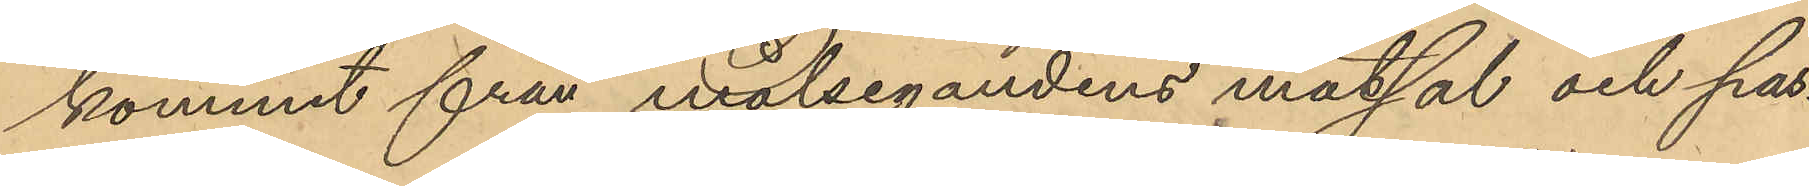kommit från målsegandens matsal och pas¬
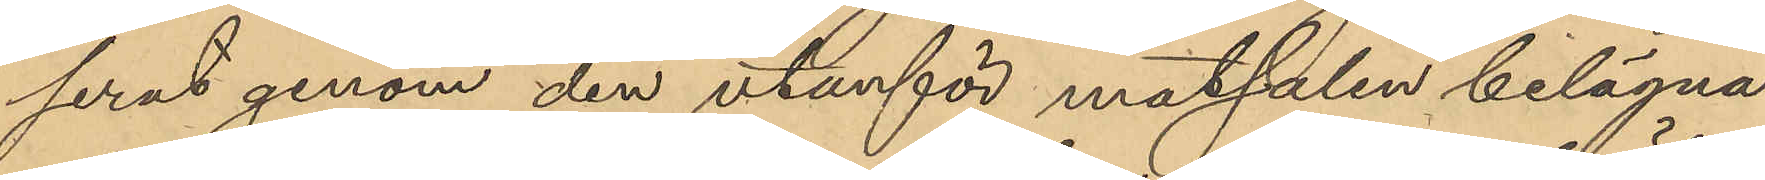serat genom den utanför matsalen belägna
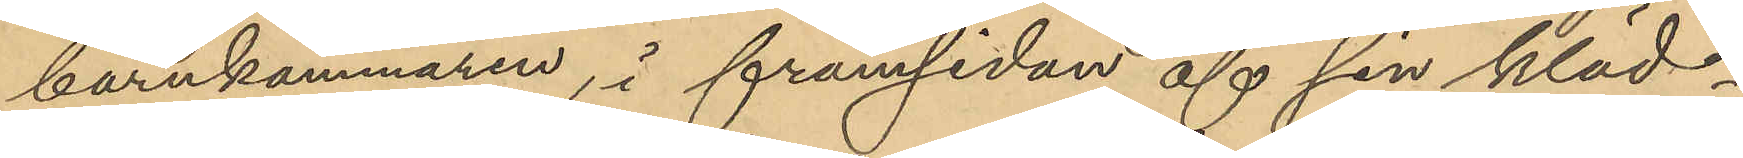barnkammaren, i framsidan af sin kläd¬
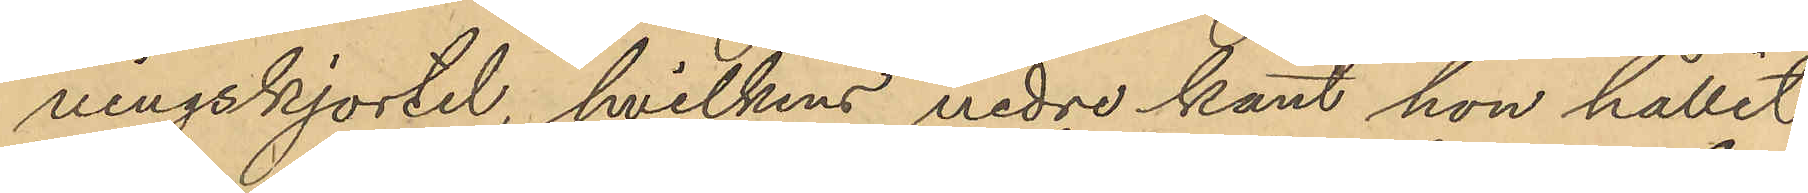ningskjortel, hvilkens nedre kant hon hållit
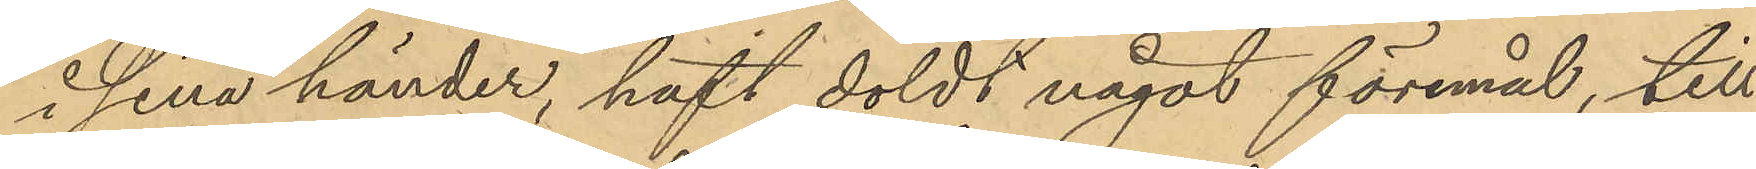i sina händer, haft doldt något föremål, till
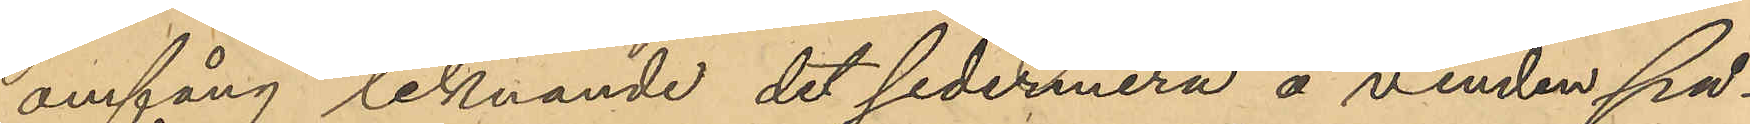omfång liknande det sedermera å vinden på¬
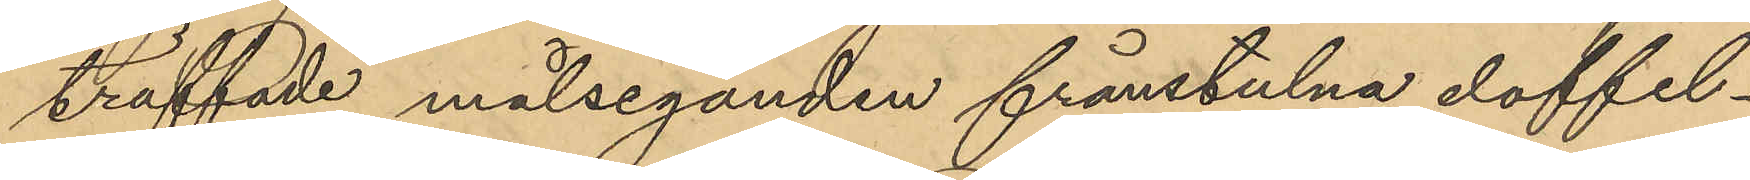träffade målseganden frånstulna doffel¬
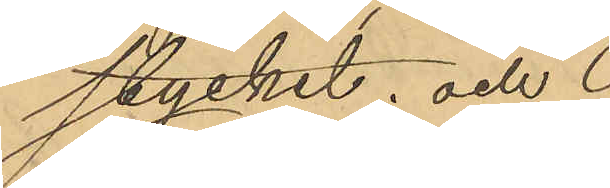stycket; och
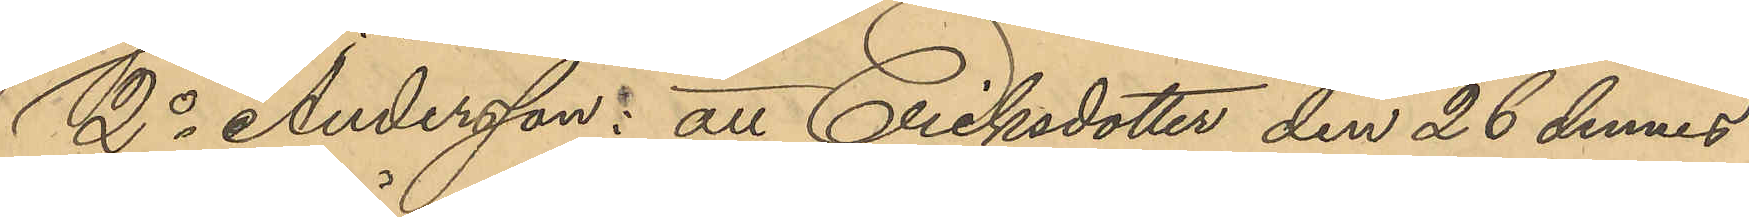2o Andersson: att Eriksdotter den 26 dennes
